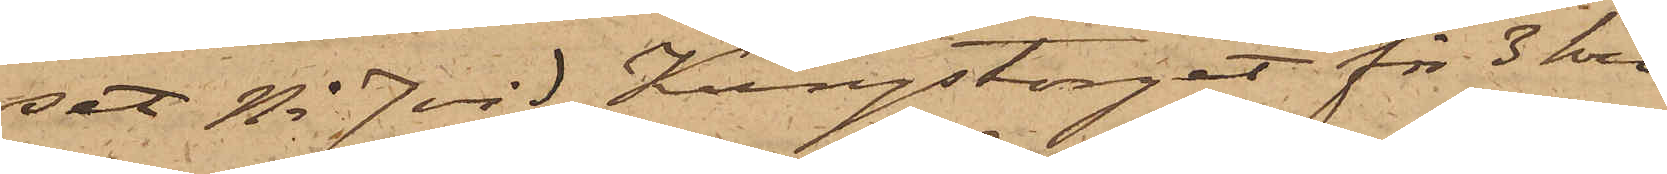set No 7 vid Kungstorget för 3 kro¬
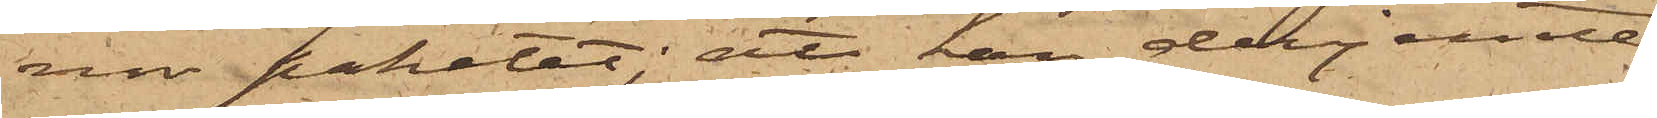nor paketet; att han derjemte
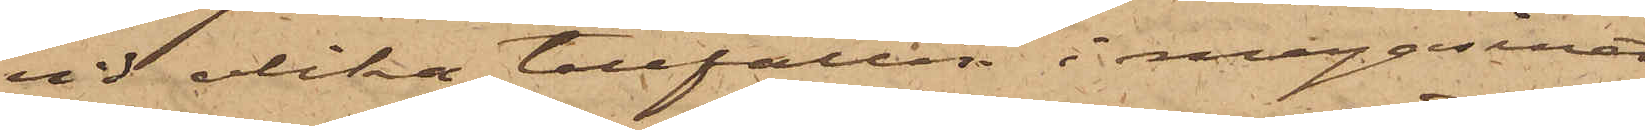vid olika tillfällen i magasinet
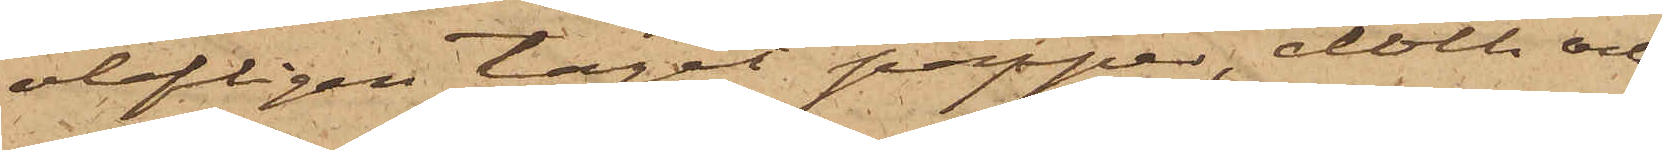olofligen tagit papper, cloth och
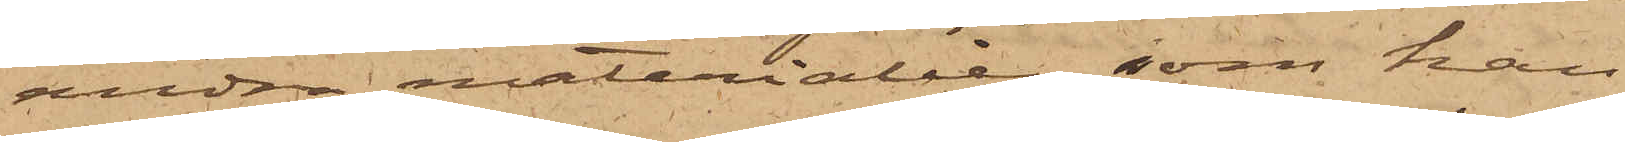andra materialier, som han
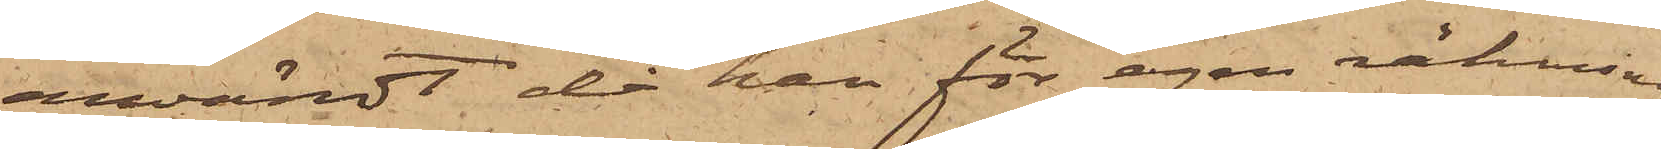användt då han för egen räkning
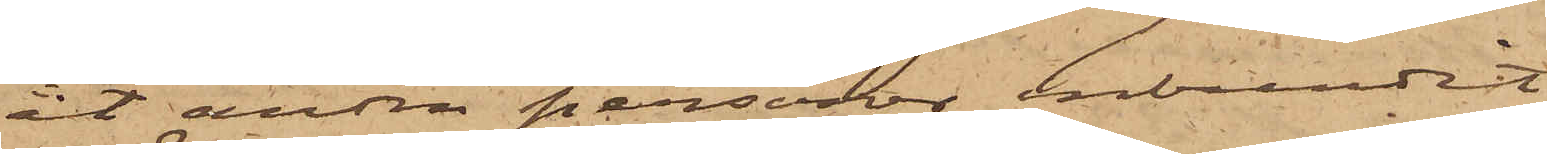åt andra personer inbundit
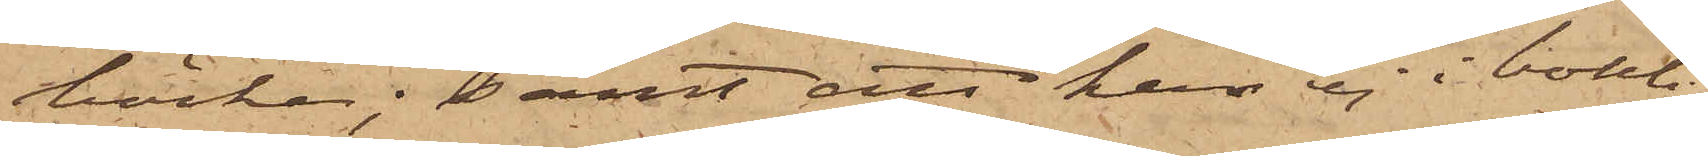böcker; samt att han ej i bouti¬
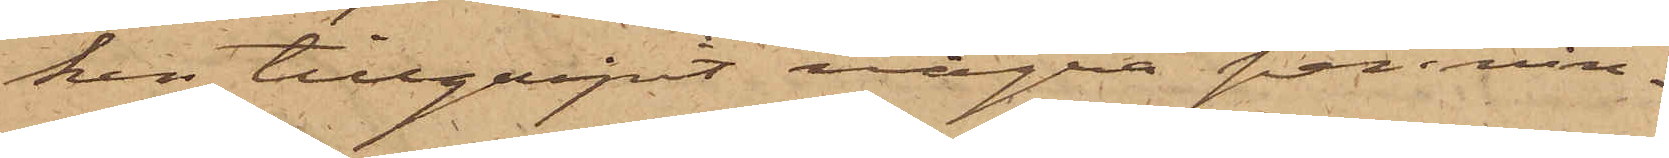ken tillgripit några pennin¬
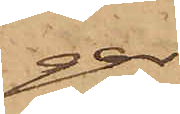gar
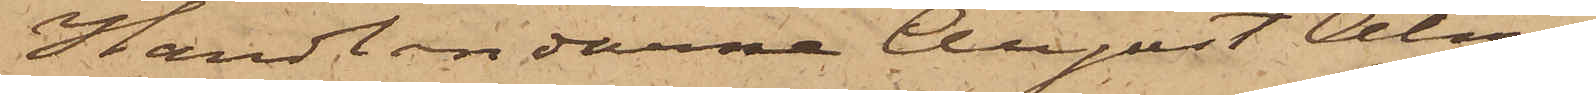Handlandarne August Alm¬
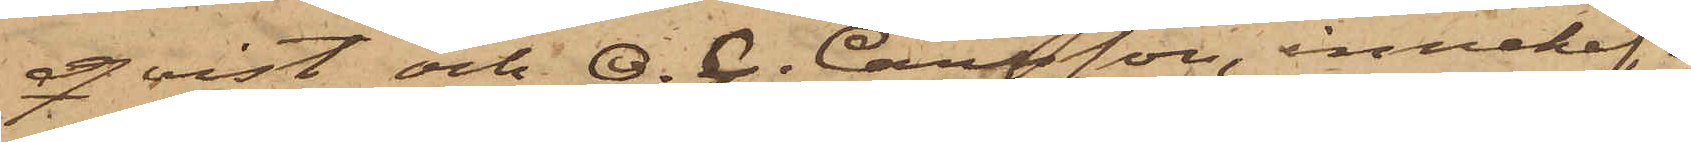qvist och O. C. Carlsson, innehaf¬
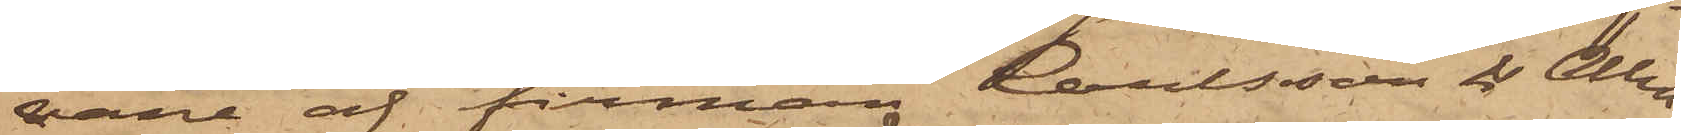vare af firman Carlsson & Alm¬
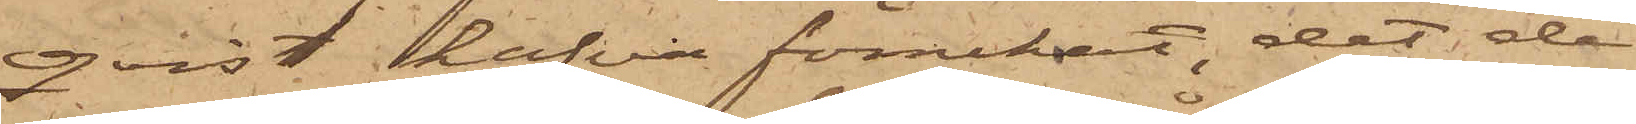qvist hafva förnekat, det de
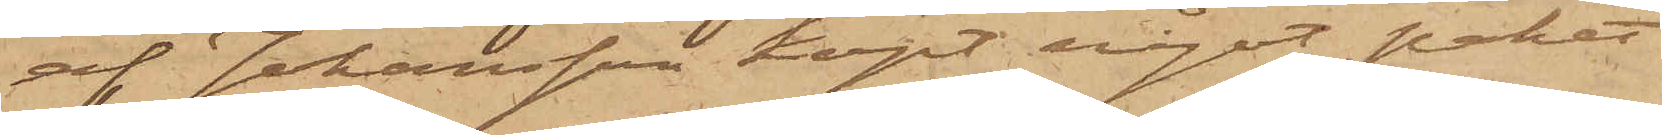af Johansson köpt något paket
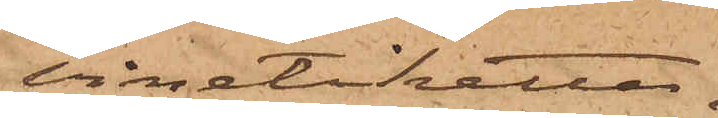vinetiketter,
